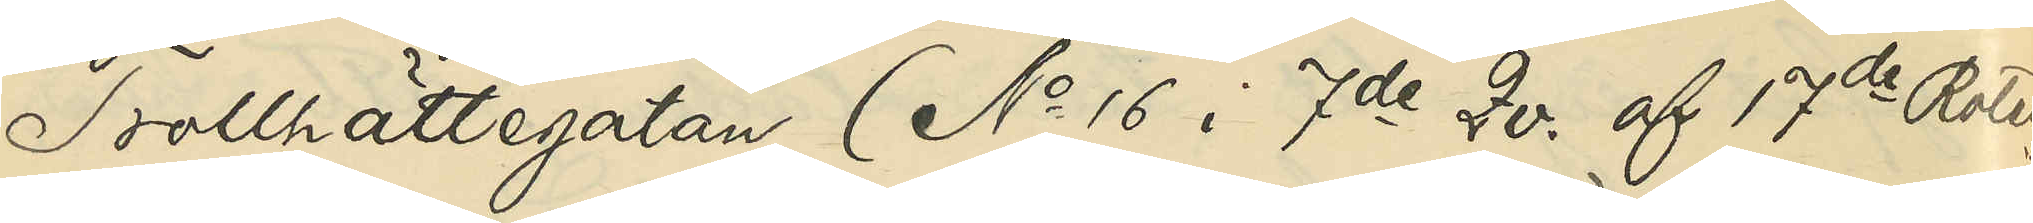Trollhättegatan (No 16 i 7de Qv. af 17de Roten)
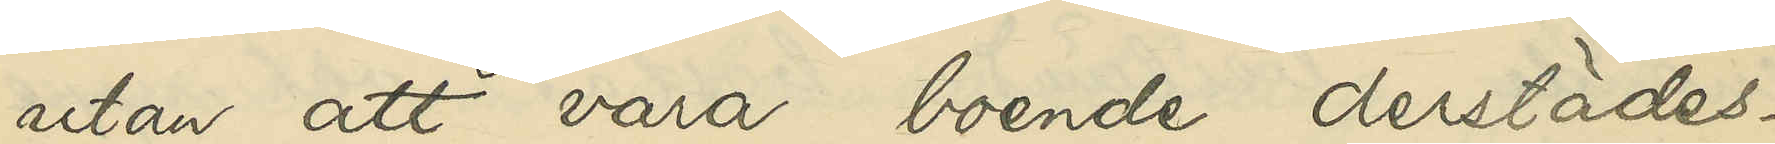utan att vara boende derstädes.
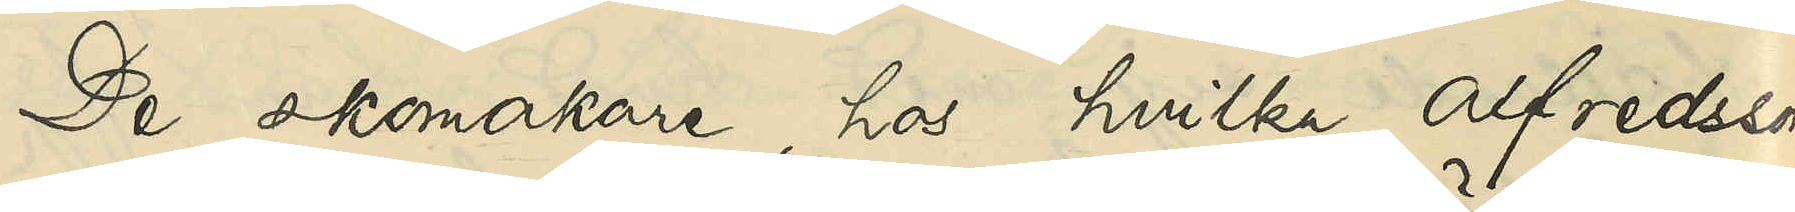De skomakare, hos hvilka Alfredsson
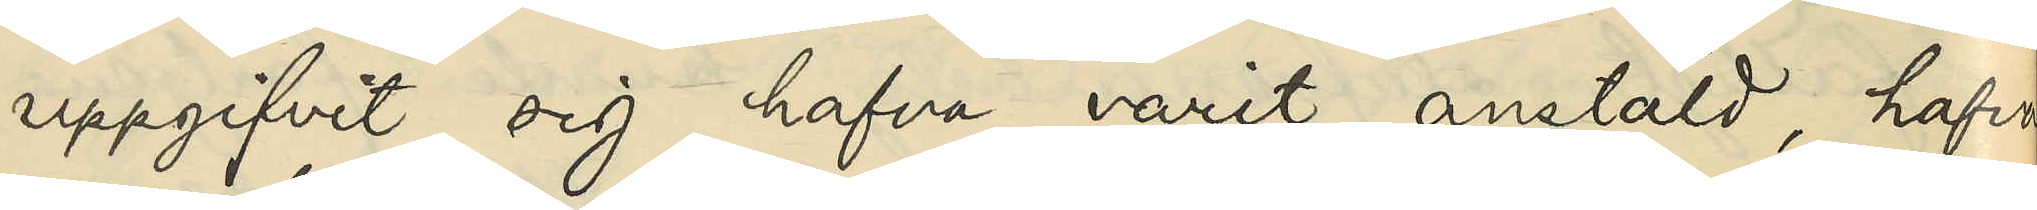uppgifvit sig hafva varit anstäld, hafva
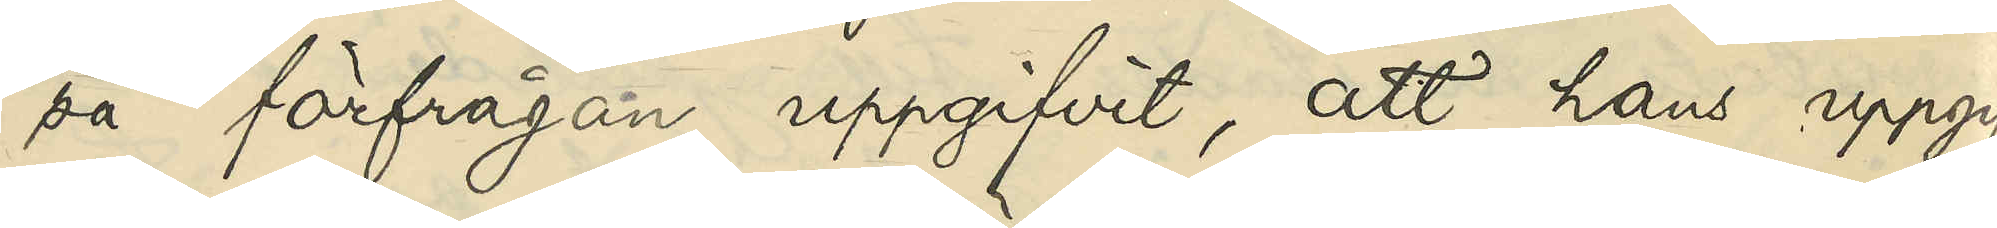på förfrågan uppgifvit, att hans uppgif¬
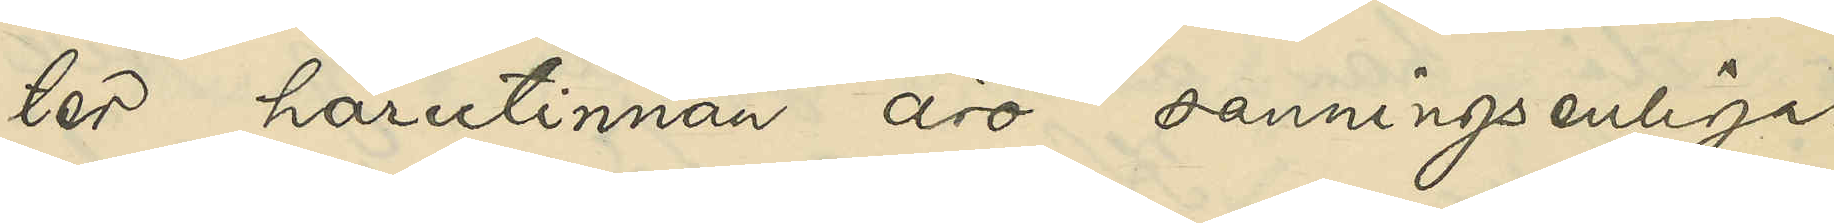ter härutinnan äro sanningsenliga.
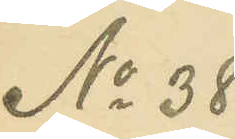No 38
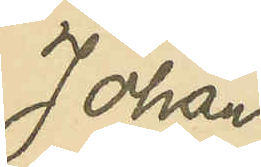Johan 
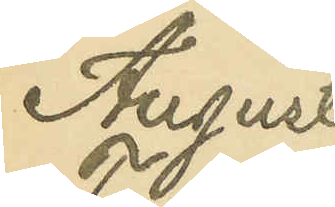August
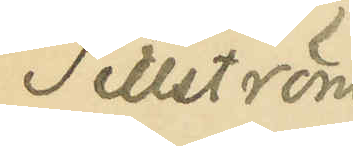Tillström
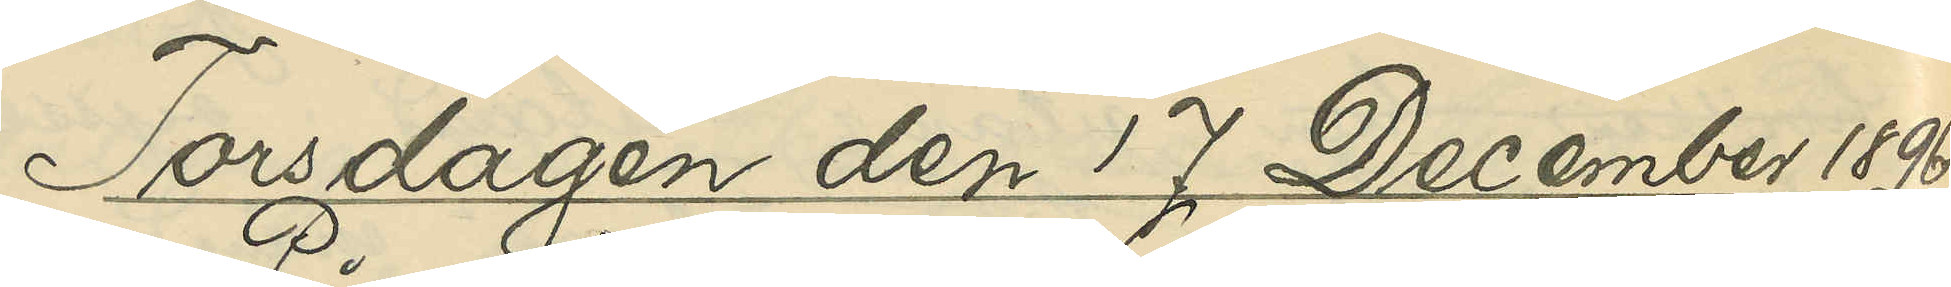Torsdagen den 17 December 1896
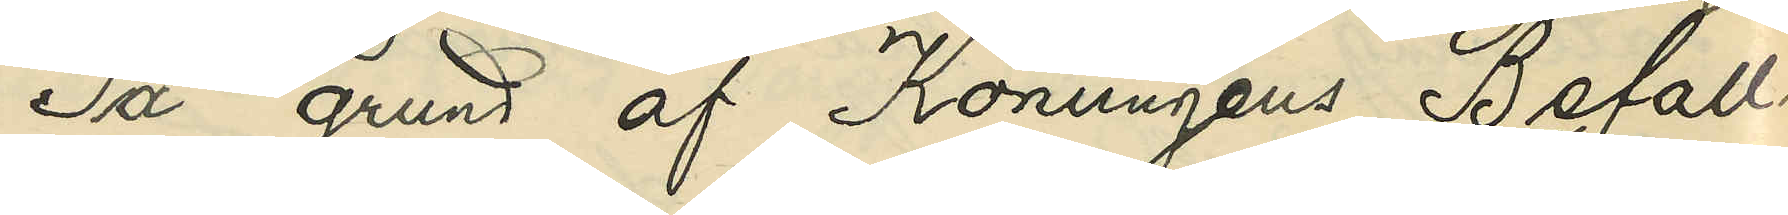På grund af Konungens Befall¬
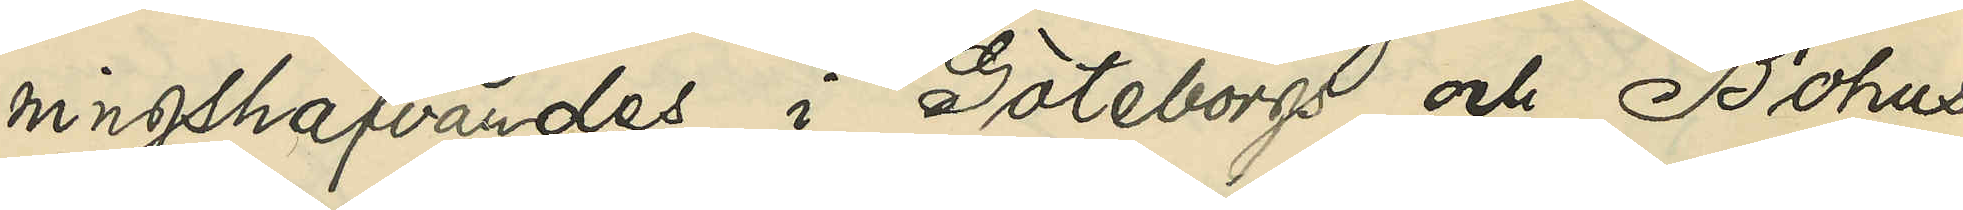ningshafvandes i Göteborgs och Bohus 
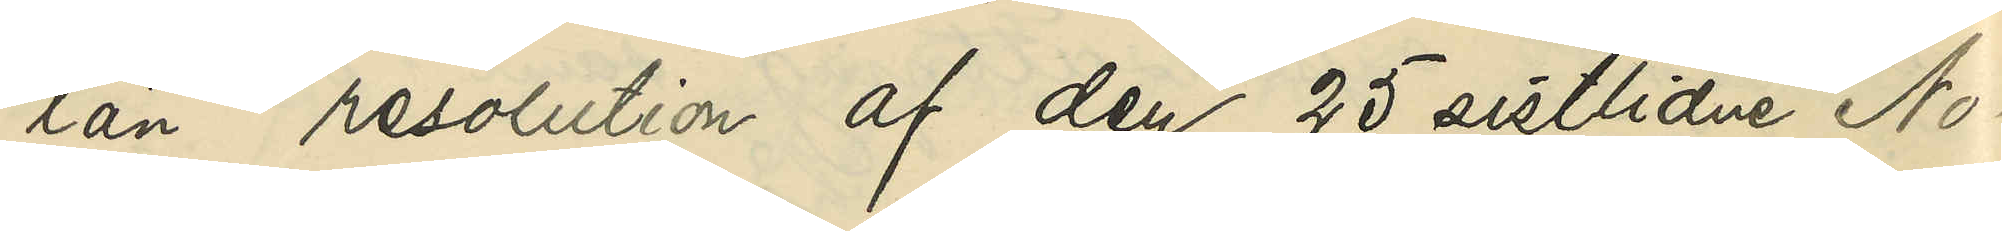län resolution af den 25 sistlidne No¬
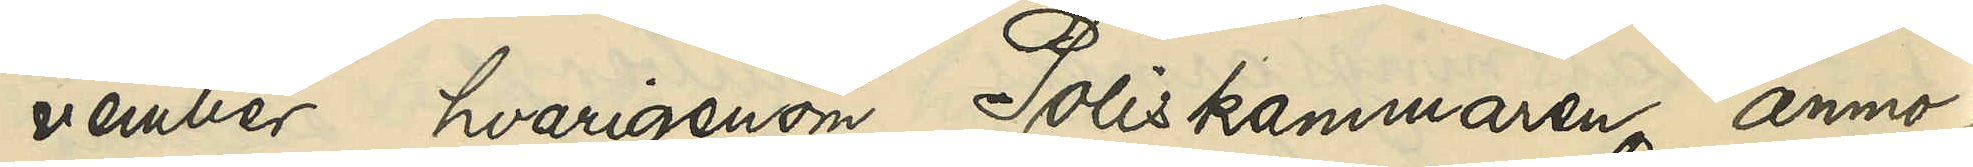vember hvarigenom Poliskammaren anmo¬
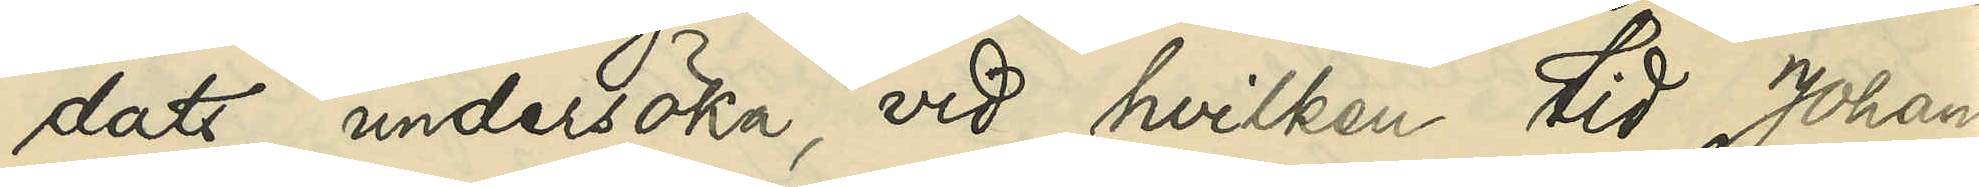dats undersöka vid hvilken tid Johan
